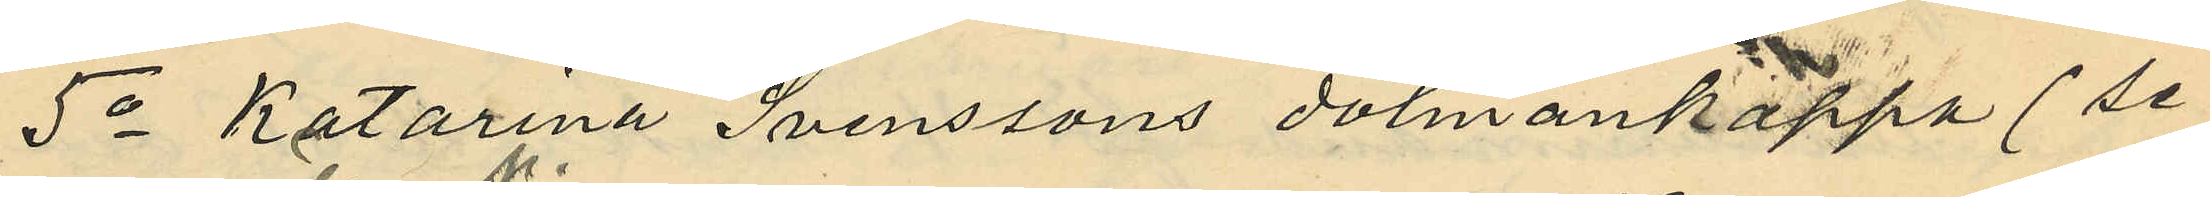5o Katarina Svenssons dolmankappa (se
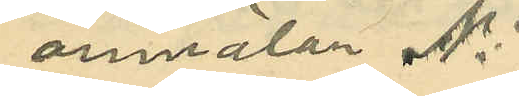anmälan No 
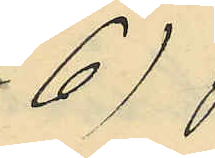6)
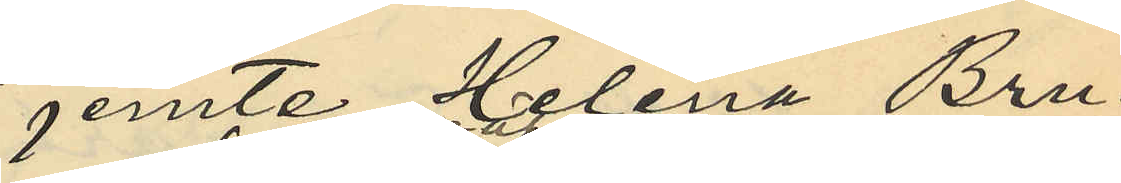jemte Helena Bru¬
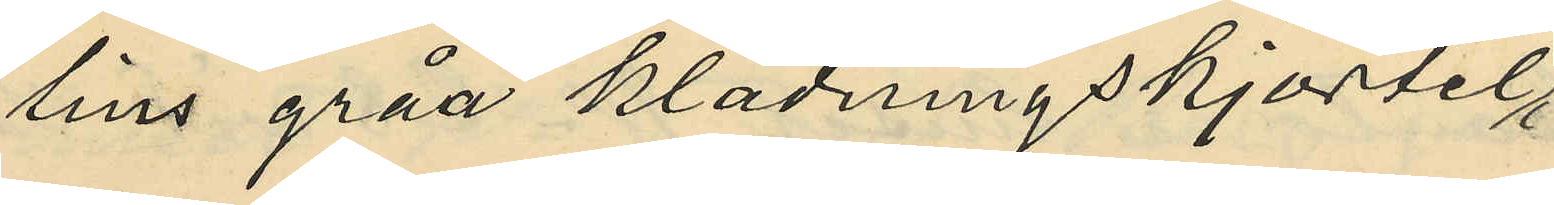lins gråa klädningskjortel,
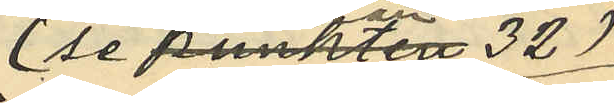(se anmälan 32)
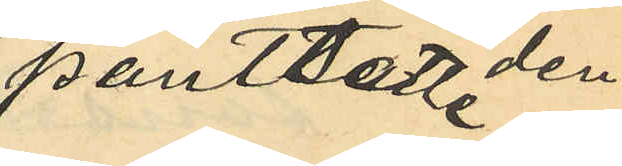pantsatt den
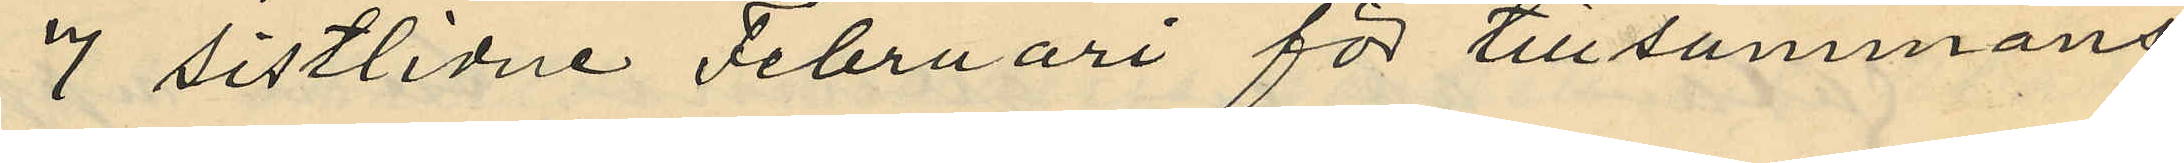7 sistlidne Februari för tillsammans
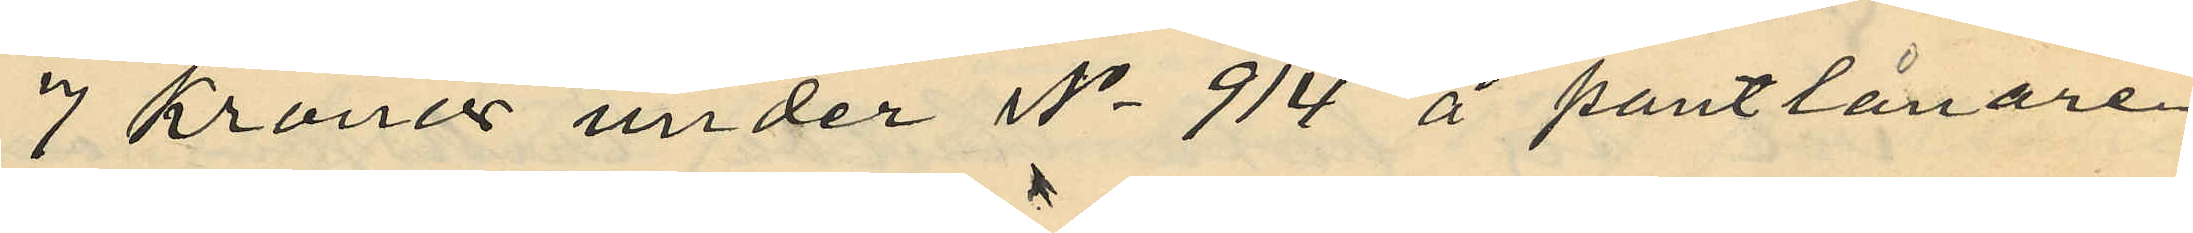7 Kronor under No 914 å pantlånare
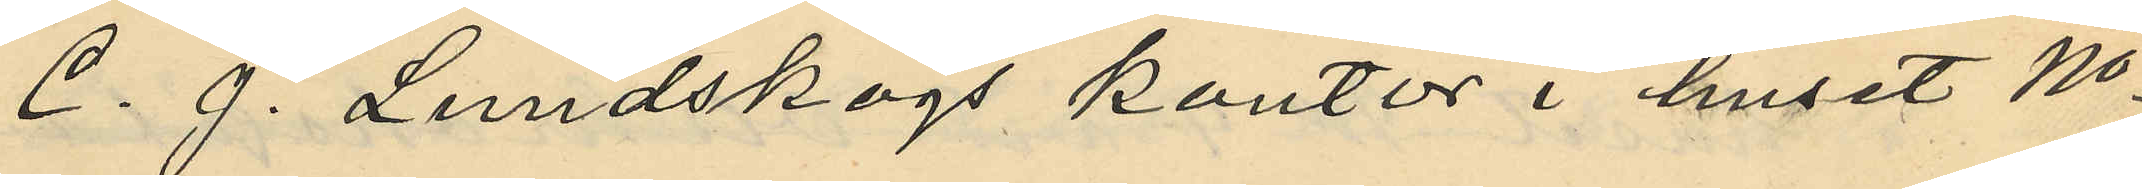C. J. Lundskogs kontor i huset No
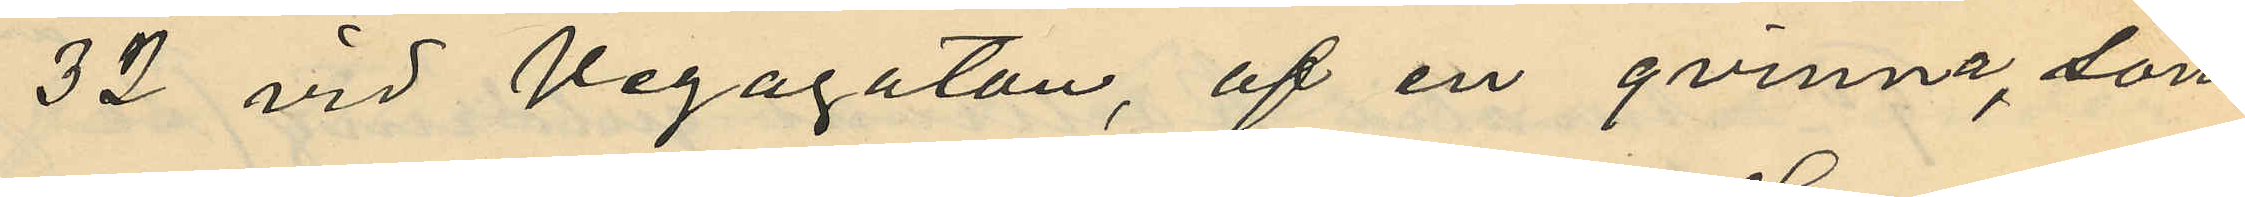32 vid Vegagatan, af en qvinna, som
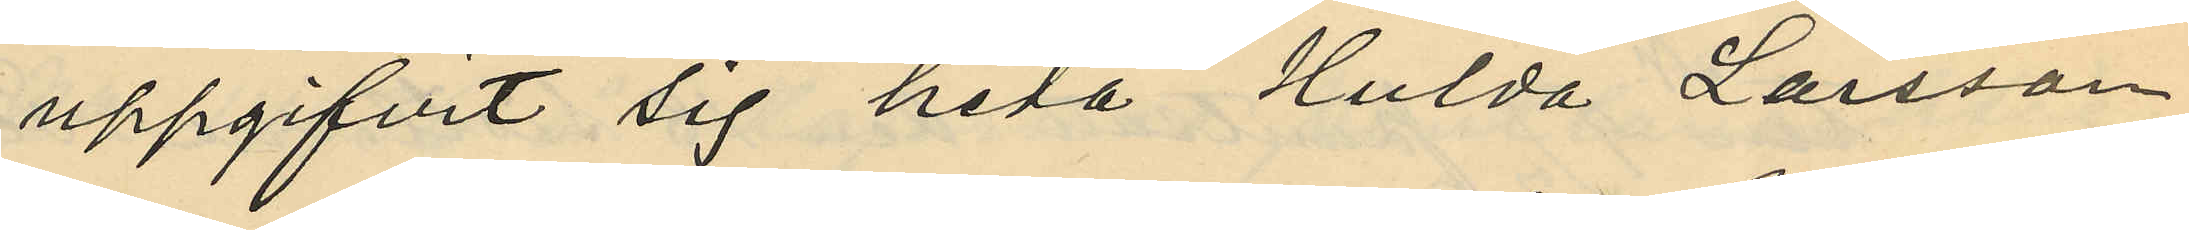uppgifvit sig heta Hulda Larsson
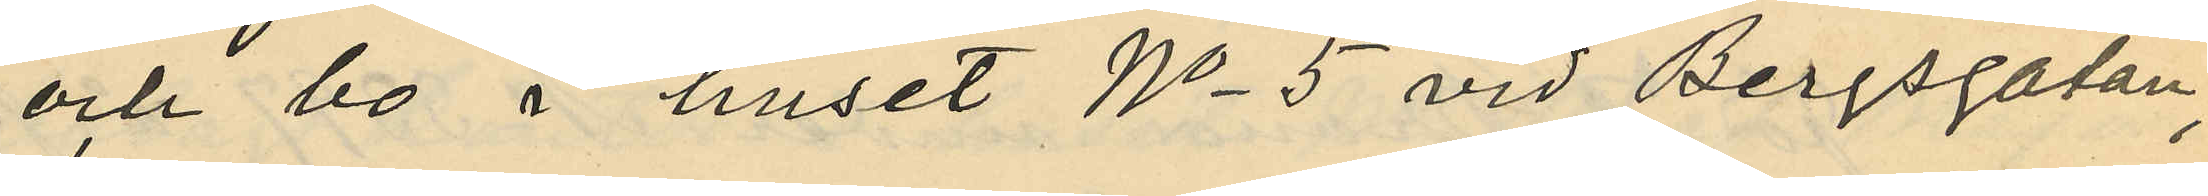och bo i huset No 5 vid Bergsgatan,
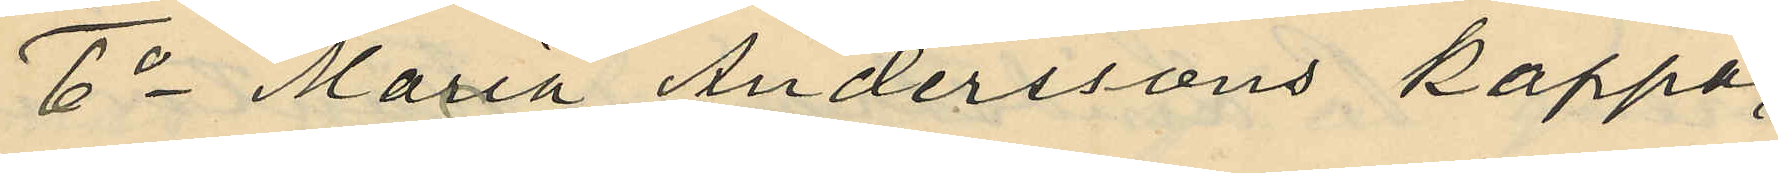6o Maria Anderssons kappa
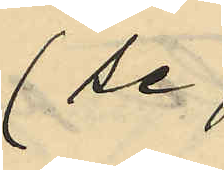(se
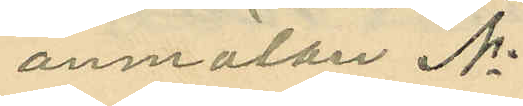anmälan No
